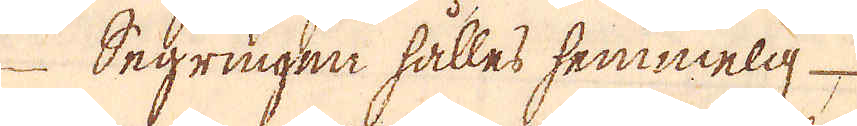Segringen hälles semmelg
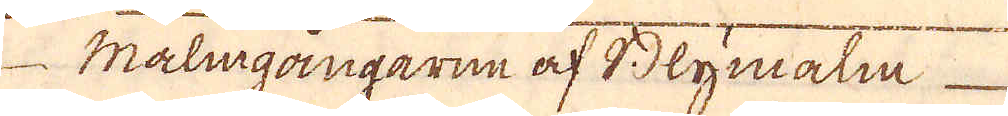Malmgångarne af Blymala
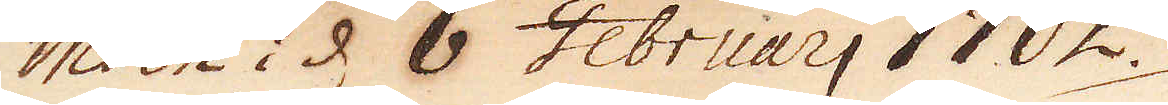insin i d 6 Februarj 1702
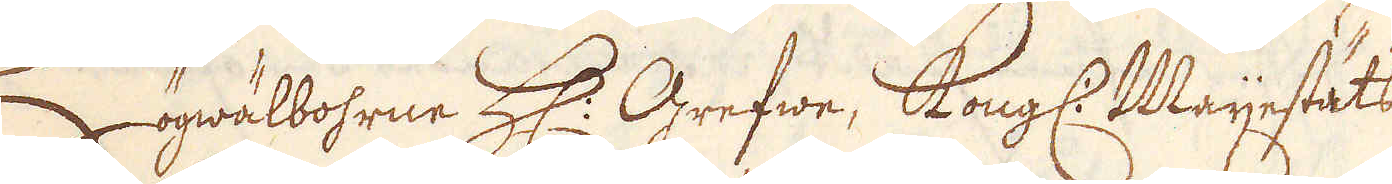Högwälbohrne H. Grefwe, Kongl. Mayestäts
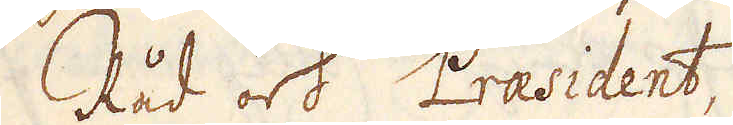Råd och Praesident,
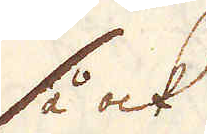så ock
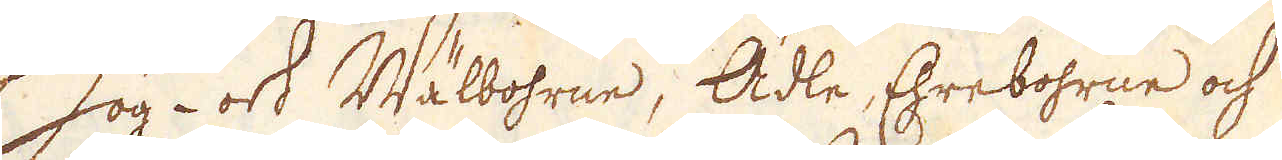hög- ok Wälbohrne, Ädle, Ehrebohrne och
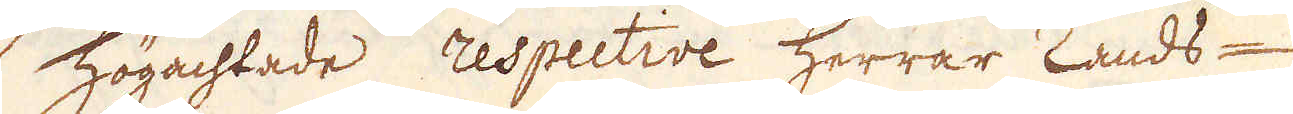Högachtade respective herrar Lands-
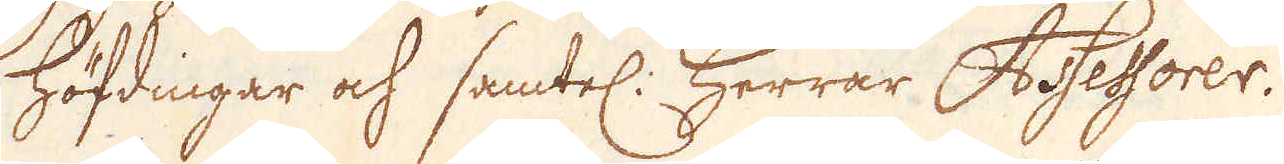höfdingar och samtel: Herrar Asessorer.
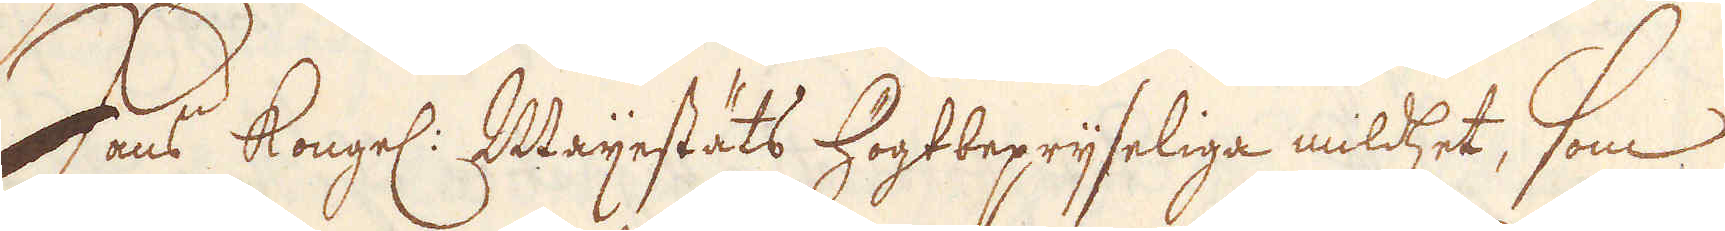Hans Kongl. Mayestäts högtpryseliga mildhet, som
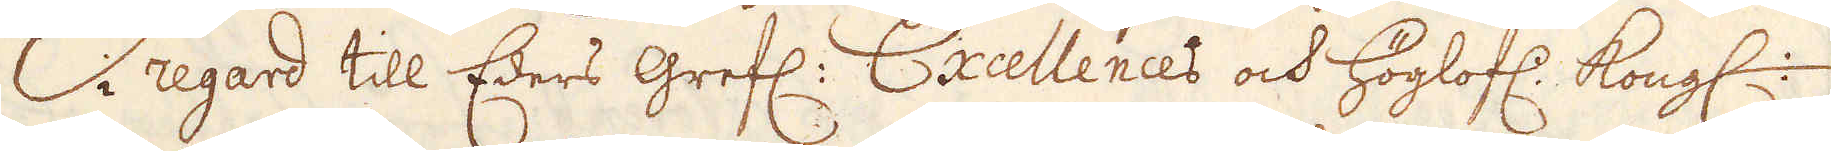i regard till Eders Grefl: Exellences och höglofl:. Kongl.
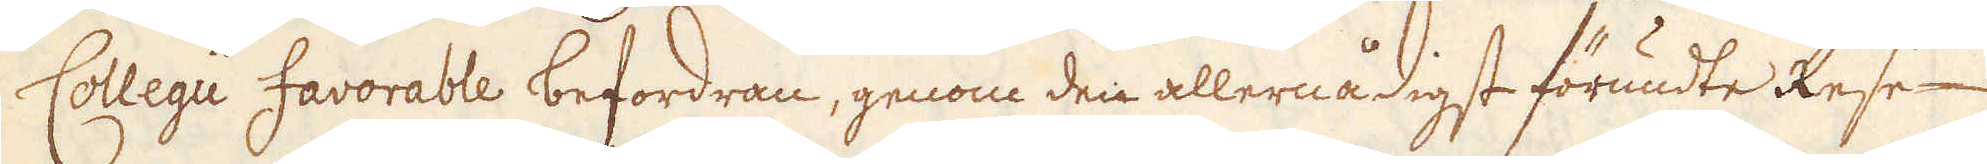Collegi favorable befordran, genom den allernådigst förundte Rese
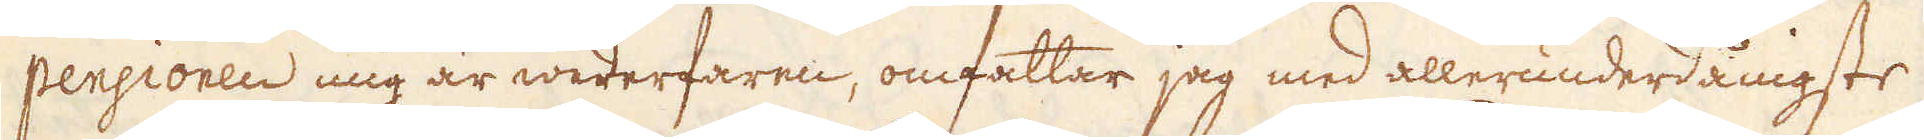pensionen mig är wederfaren, omfattar jag med allerunderdånigste
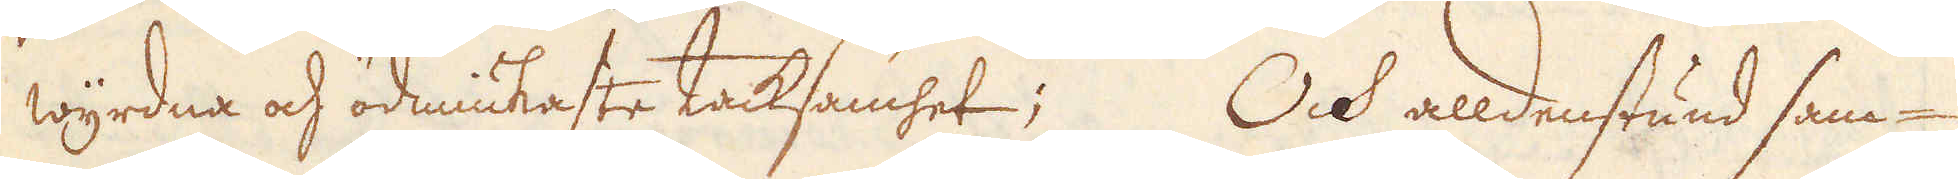wyrdna och ödmiukaste tacksamhet; Och alldenstund sam-
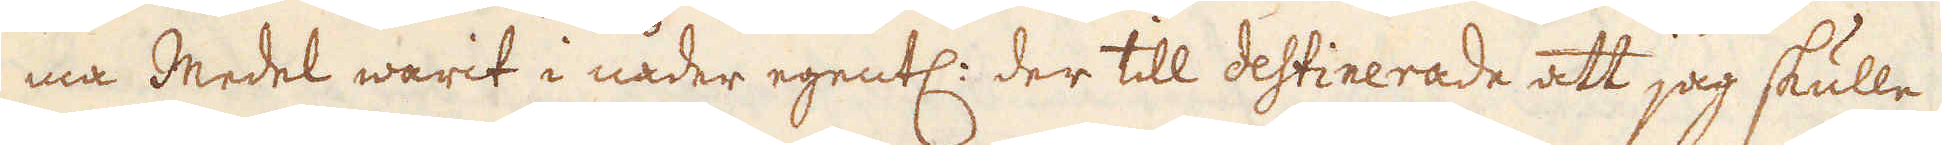ma medel warit i nåder egentl: der till destinerade att jag skulle
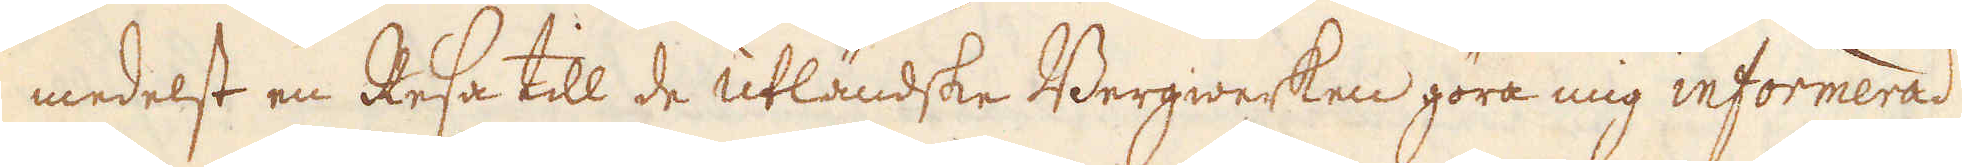medelst en Resa till de utländske Bergwerken göra mig informerad
